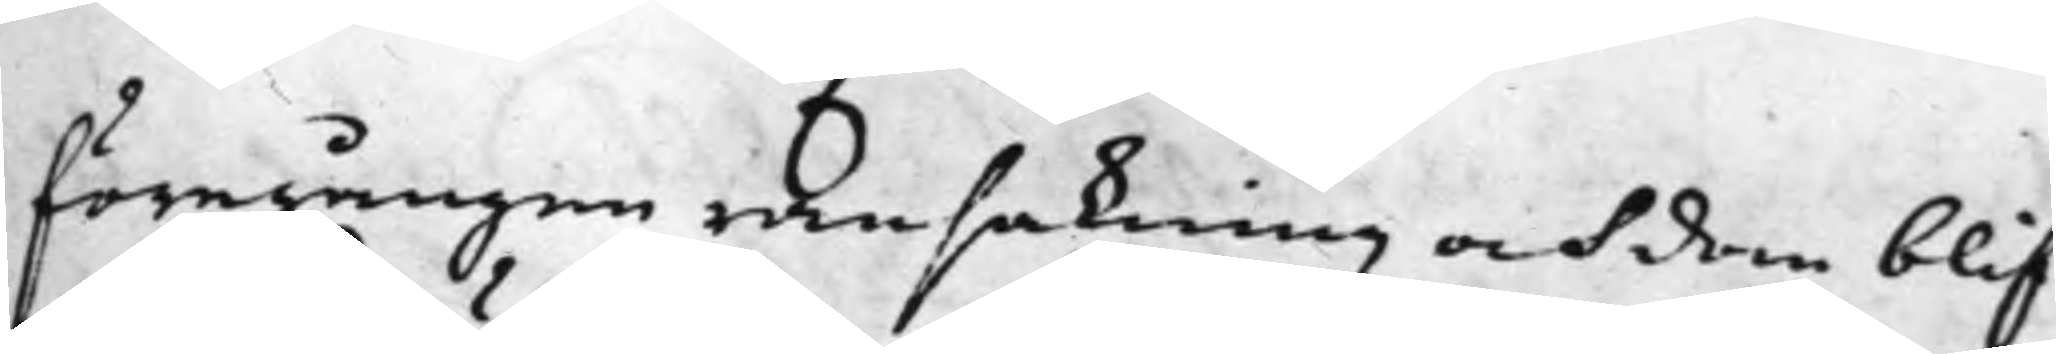föregången ransakning och dom blif¬
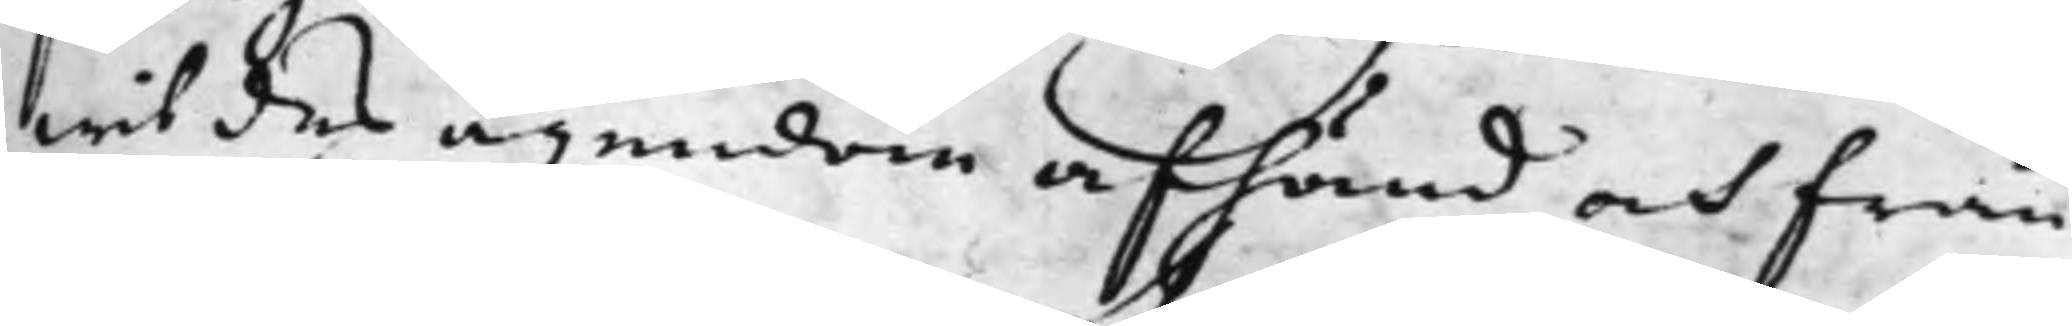wit des ägendom afhänd och från¬
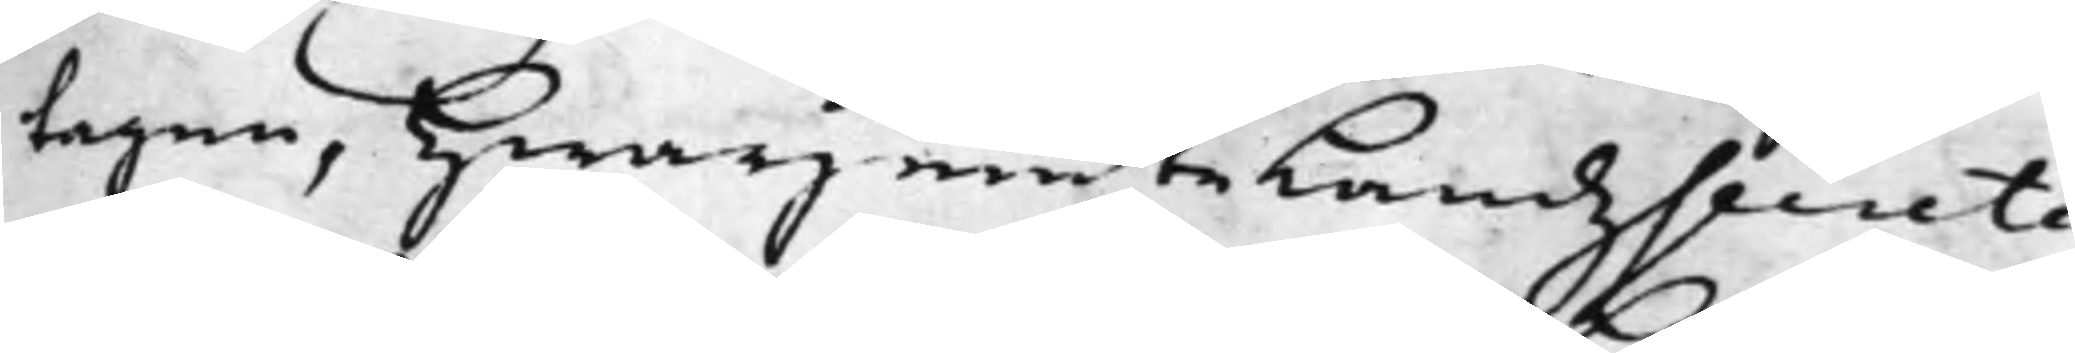tagen, Hwarjemte LandzSecrete¬
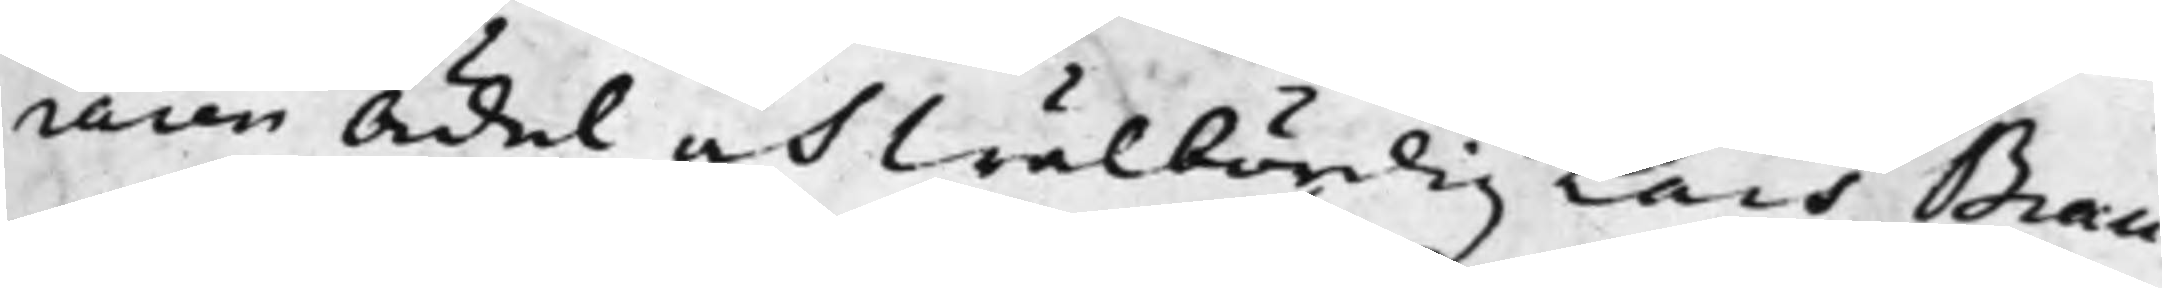raren Ädel och Wälbördig Lars Brau¬
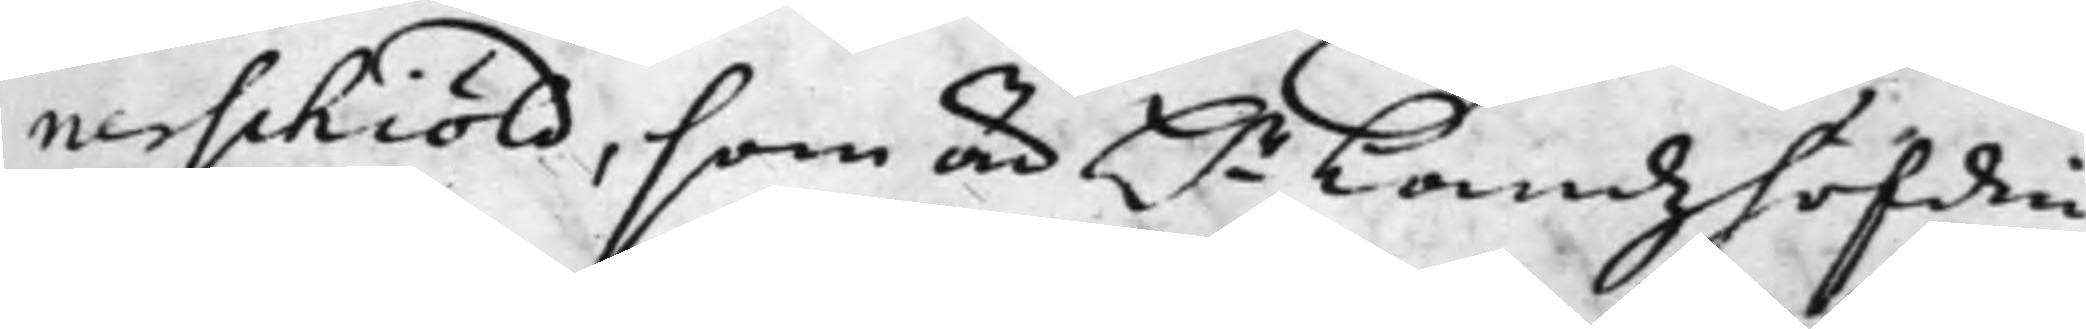nerschiöld, som är H.r Landzhöfdin¬
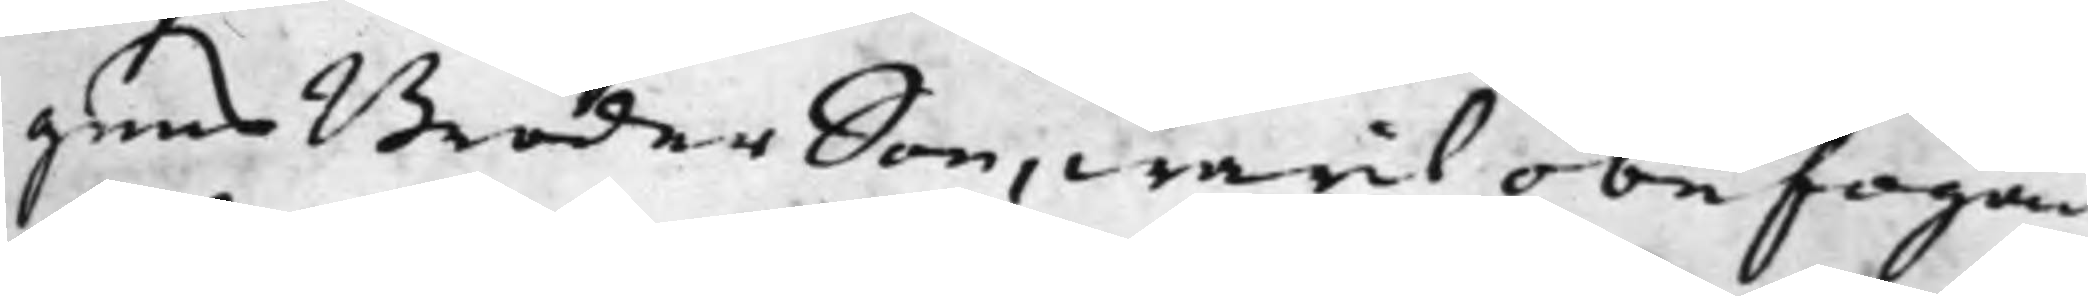gens BroderSon, warit obefogad,
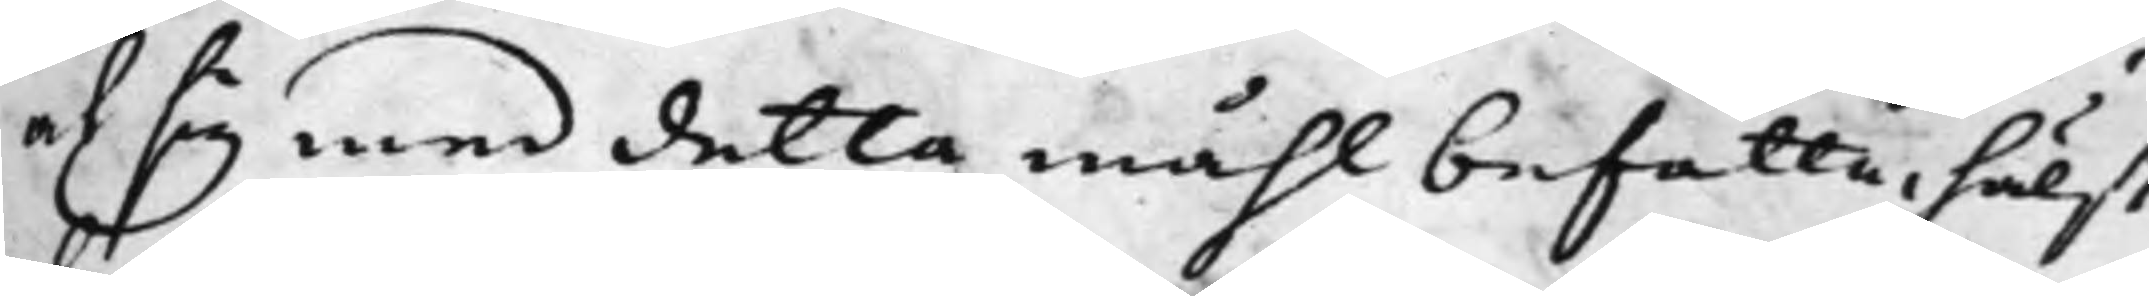af sig med detta måhl befatta, hälst
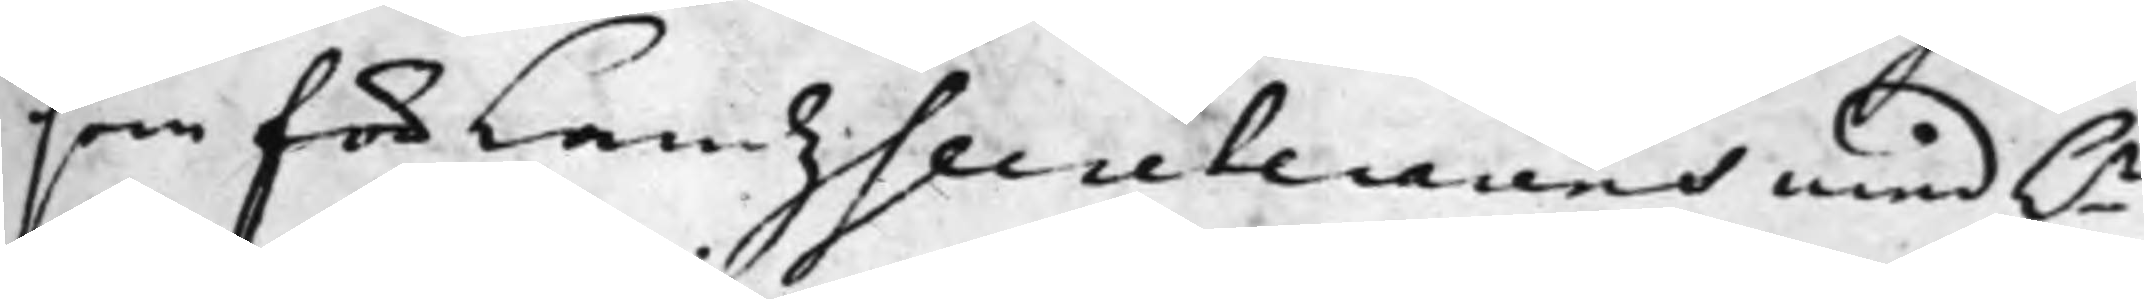som för LandzSecreterarens med h.r
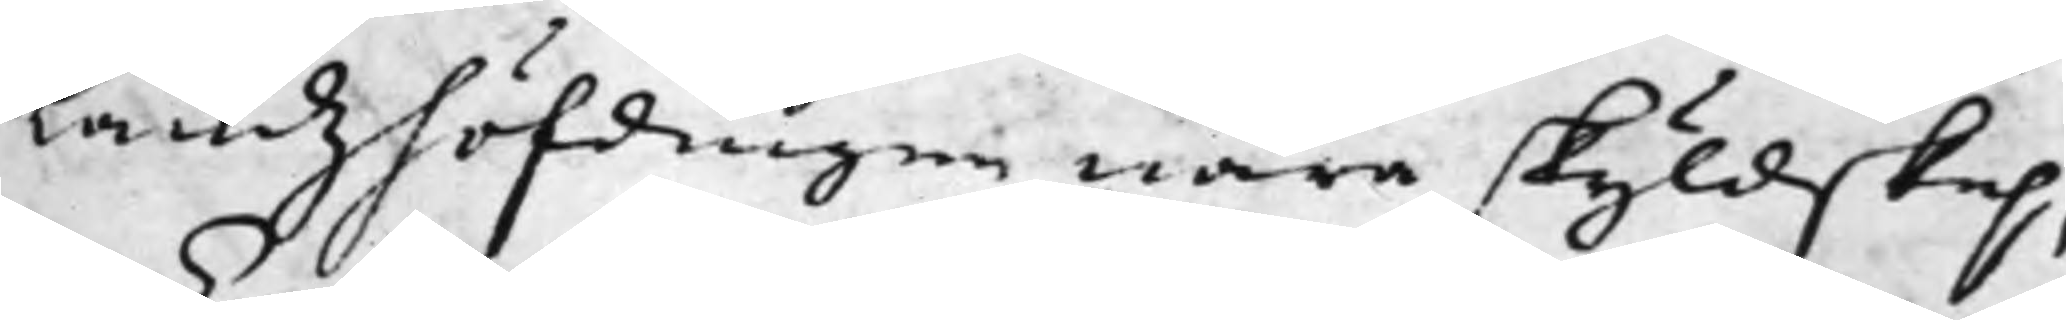Landzhöfdingen nära skyldskap,
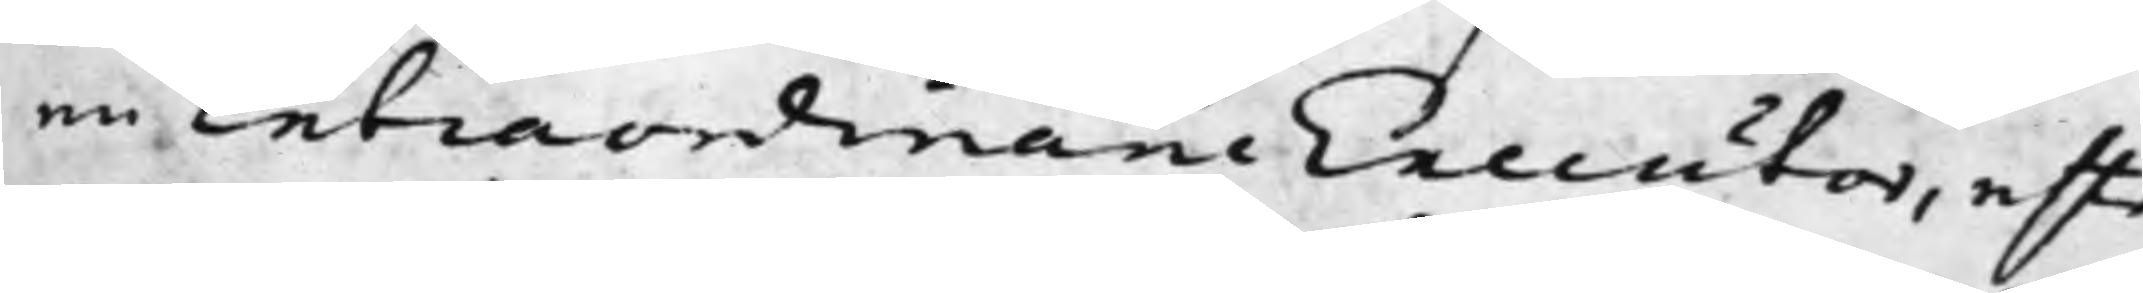en Extraordinarie Executor, efter
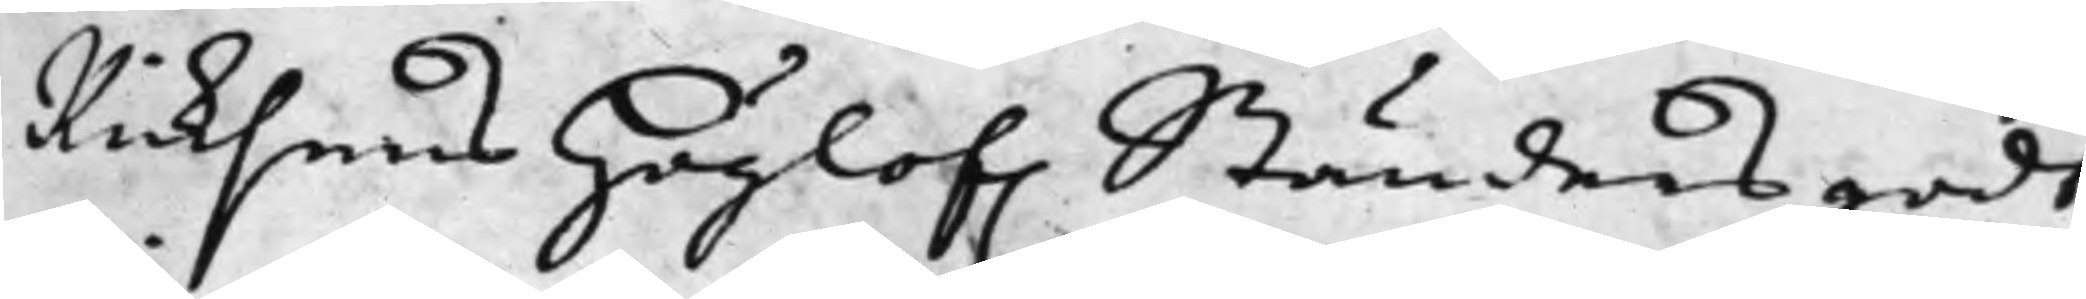Riksens Höglof. Ständers godt¬
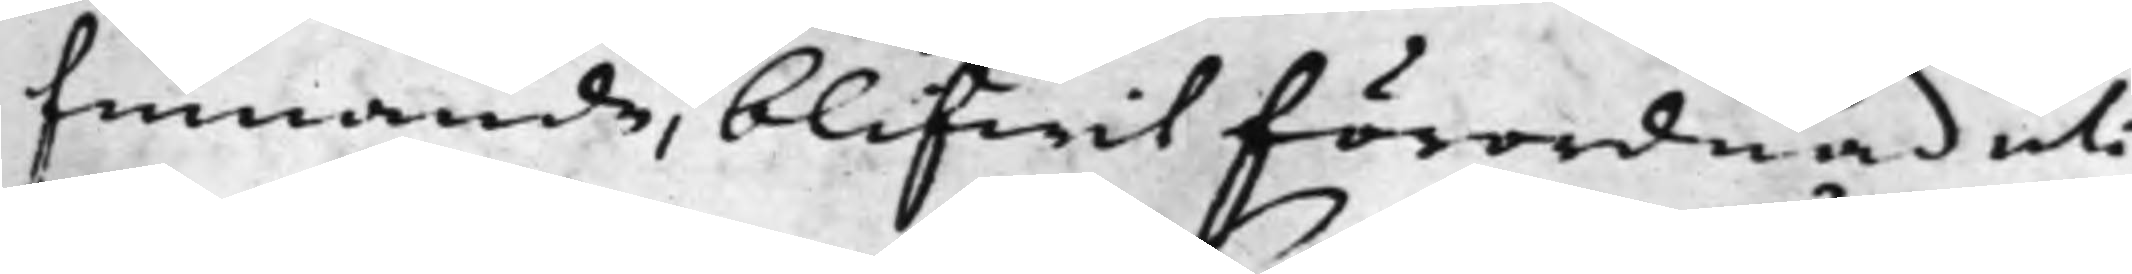finnande, blifwit förordnad uti
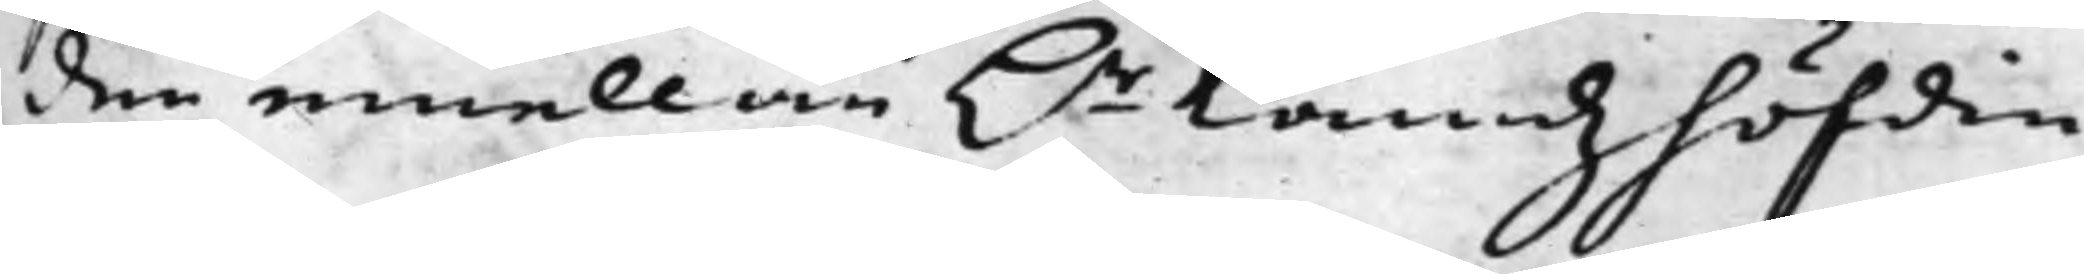den emellan h.r Landzhöfdin¬
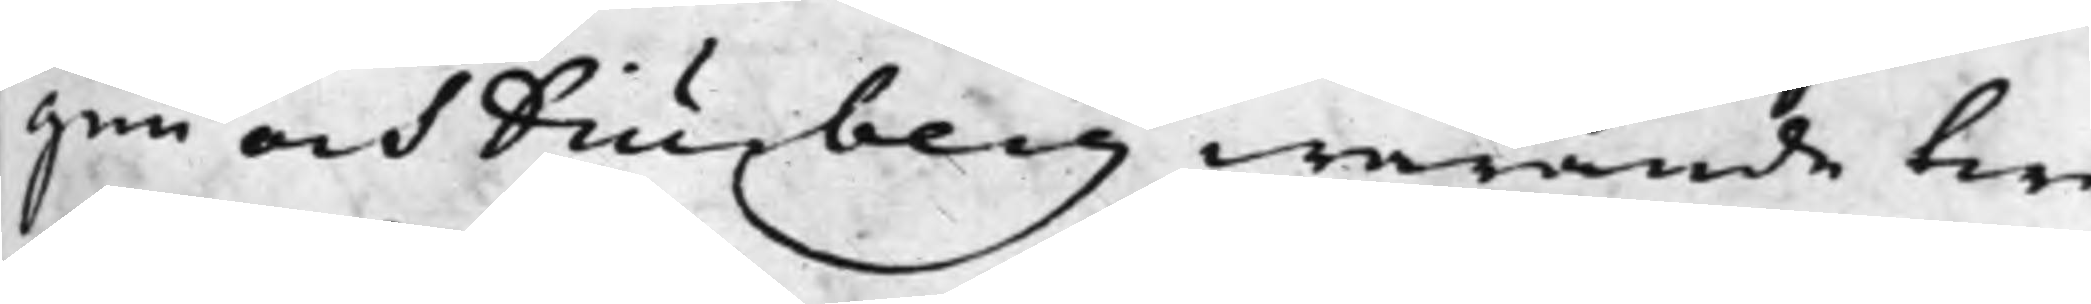gen och Diurberg warande twi¬
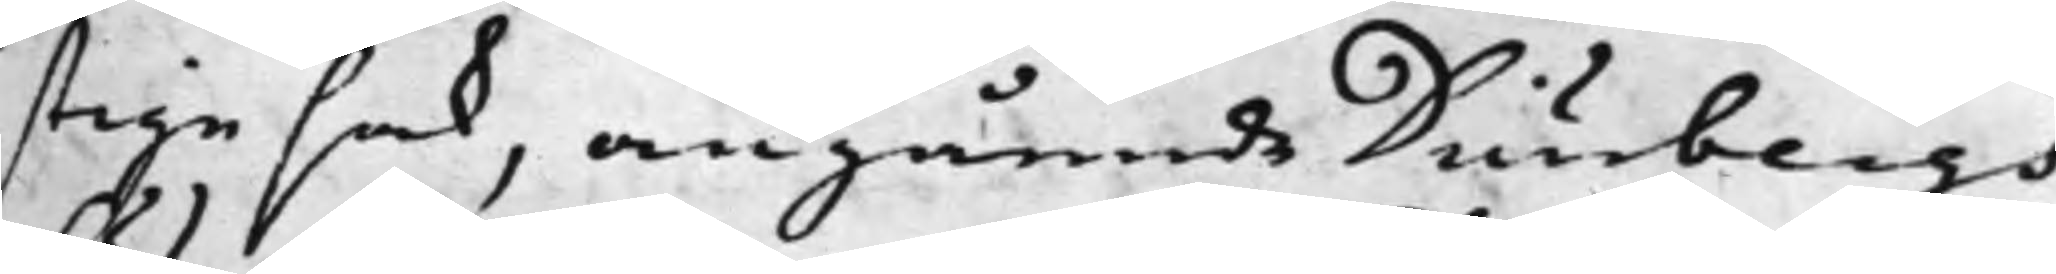stige sak, angående Diurbergs
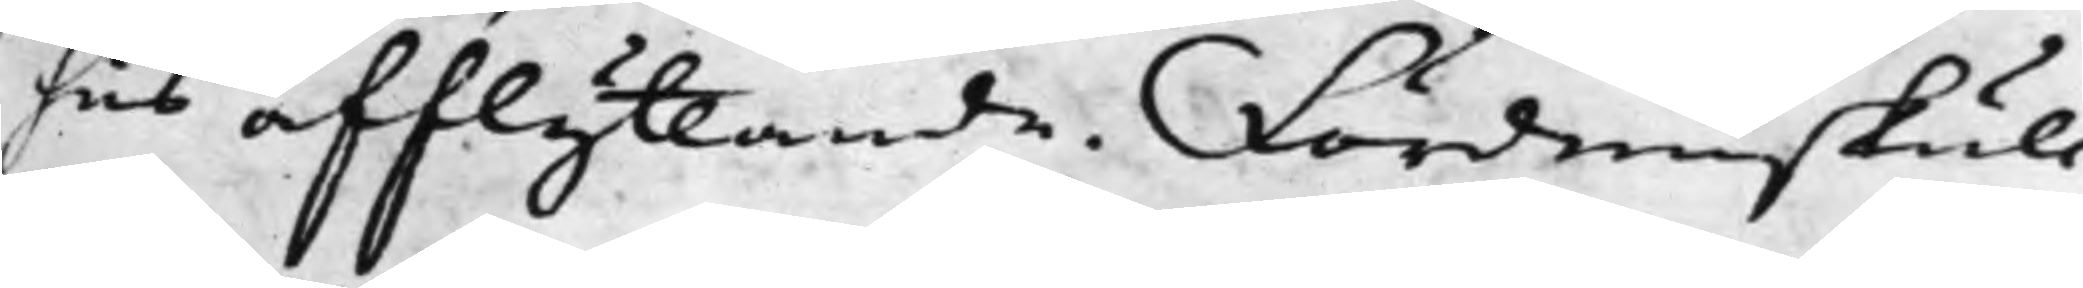hus afflyttande. Fördenskull
